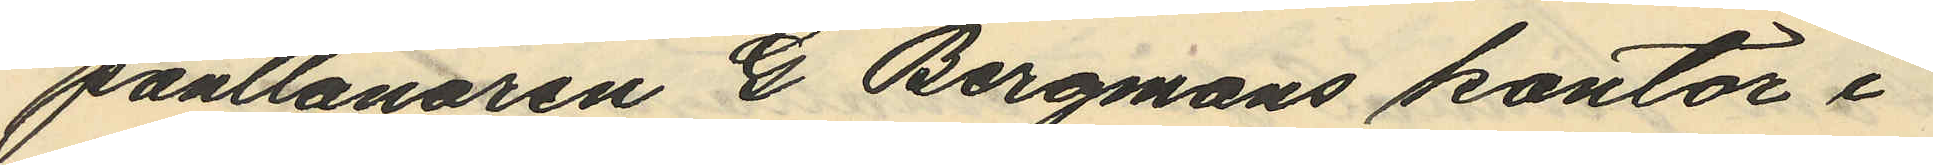pantlånaren G. Bergmans kontor i
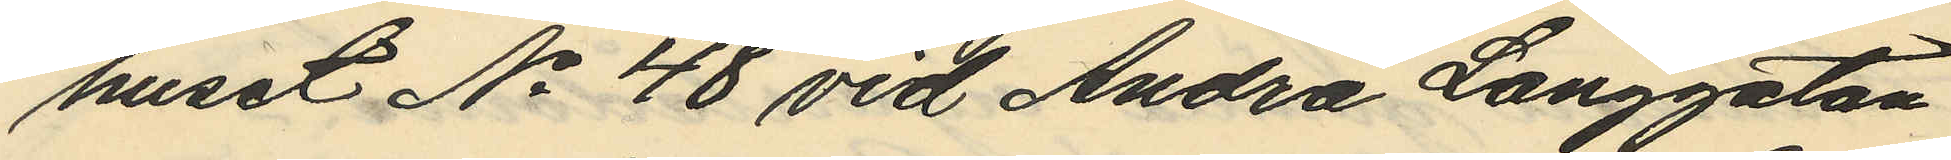huset No 48 vid Andra Långgatan
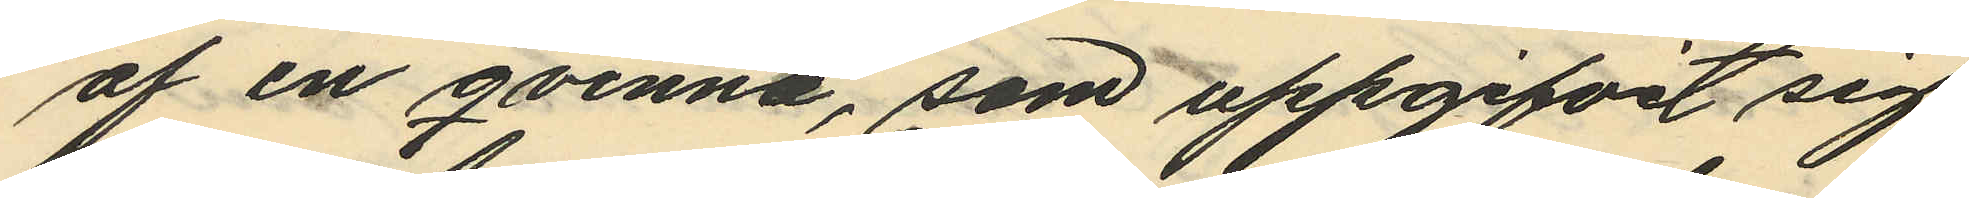af en qvinna, som uppgifvit sig
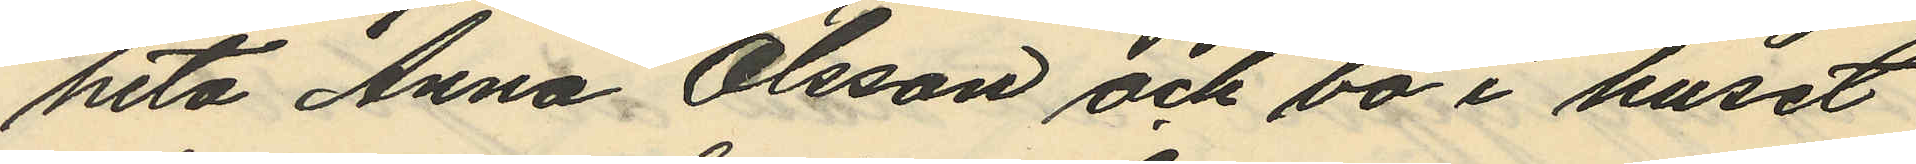heta Anna Olsson och bo i huset
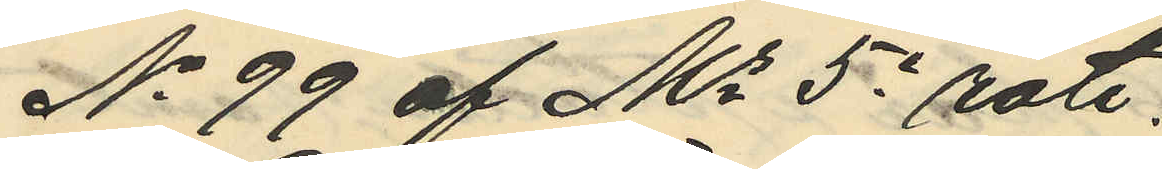No 99 af Ms 5e rote.
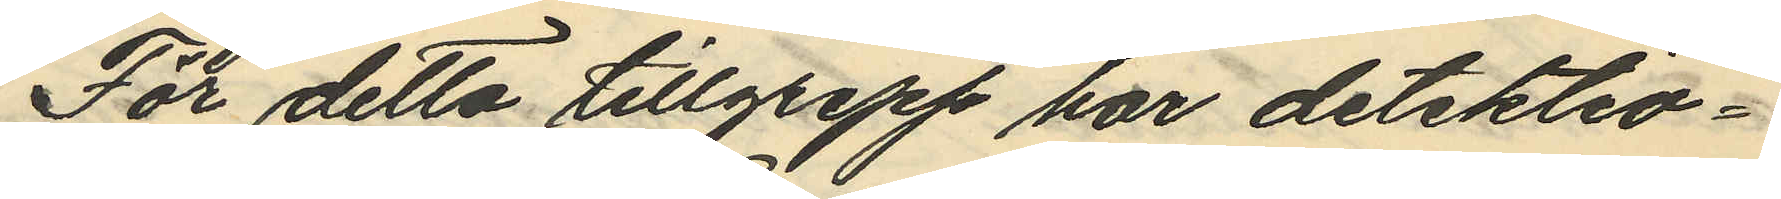För detta tillgrepp har detektiv¬
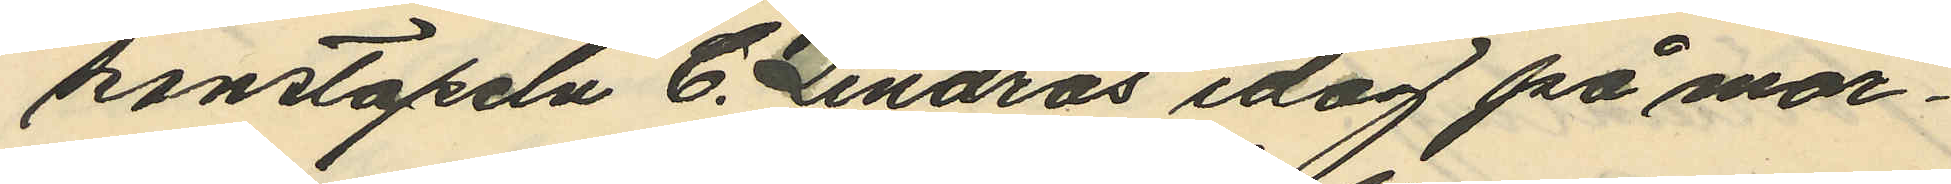konstapeln C. Lindros idag på mor¬
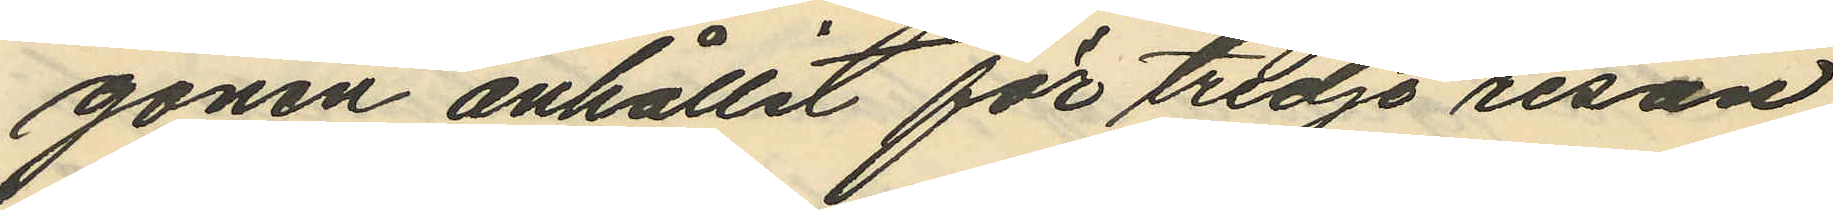gonen anhållit för tredje resan
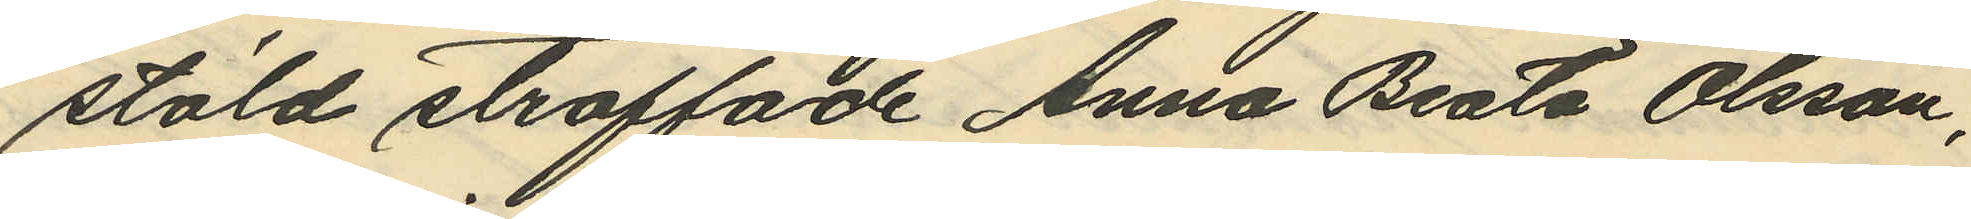stöld straffade Anna Beata Olsson,
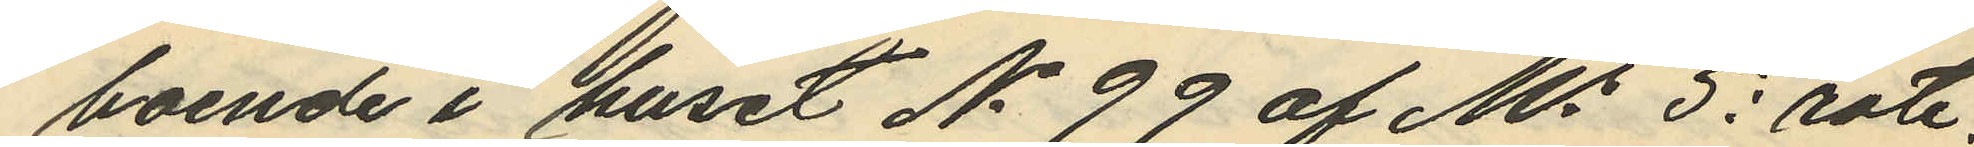boende i huset No 99 af Ms 5e rote,
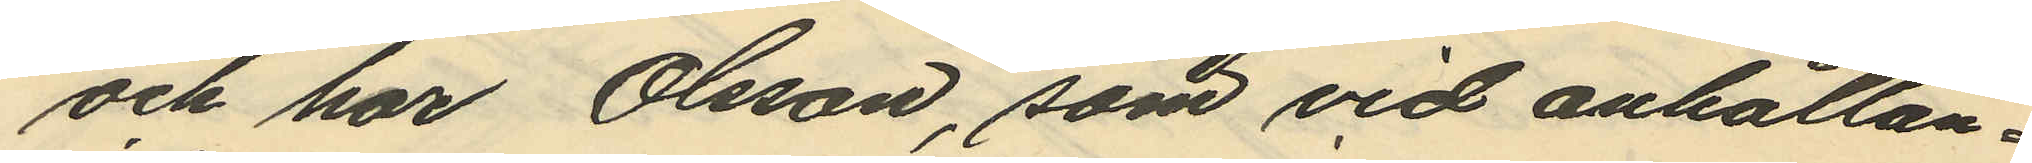och har Olsson, som vid anhållan¬
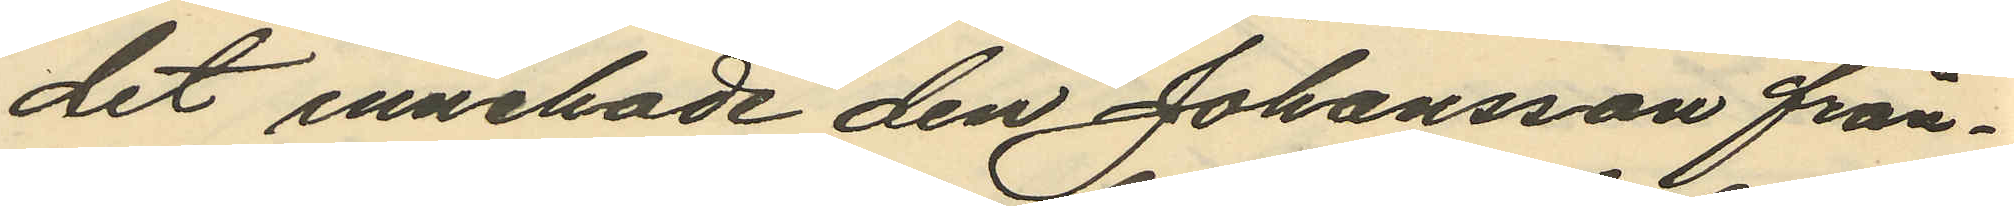det innehade den Johansson från¬
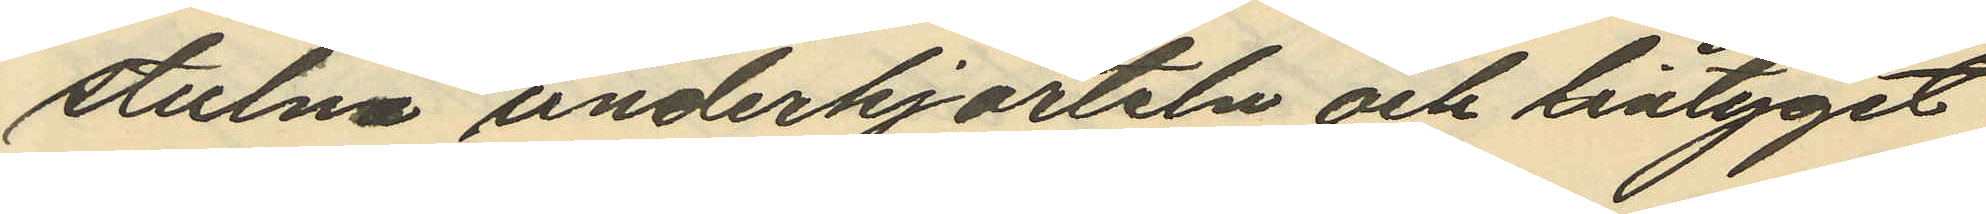stulna underkjorteln och lintyget
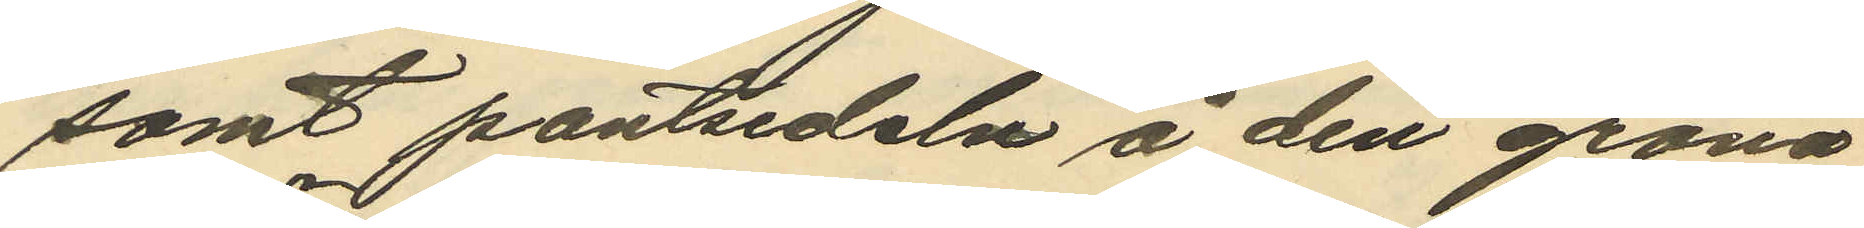samt pantsedeln å den gröna
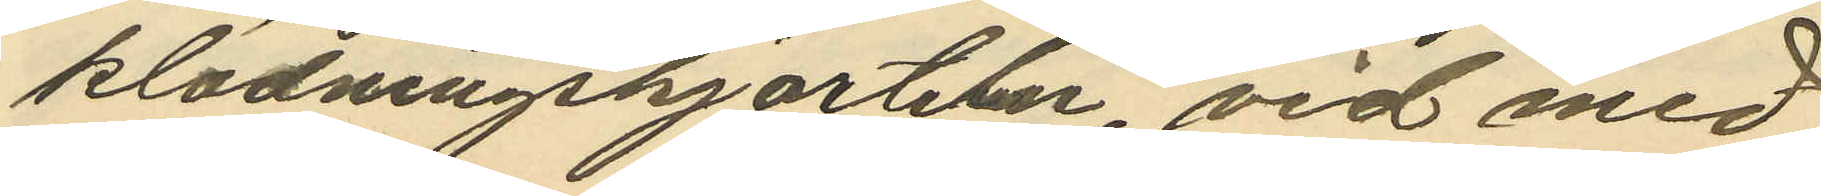klädningskjorteln, vid med
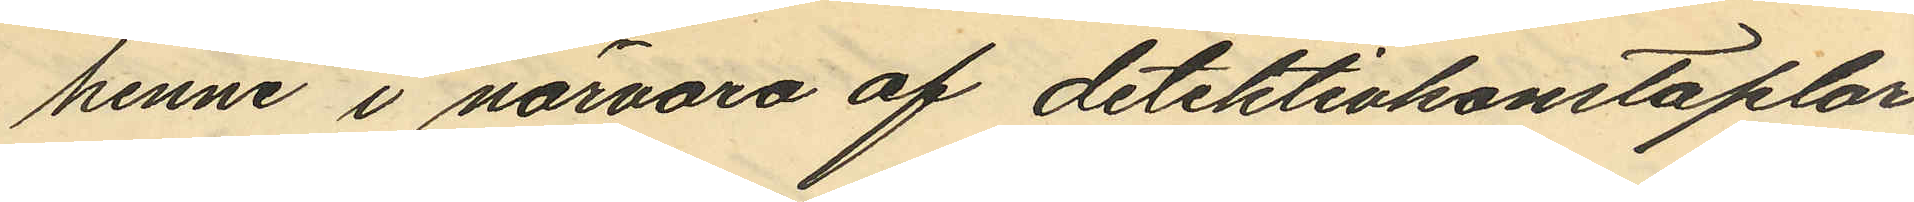henne i närvaro af detektivkonstaplar
